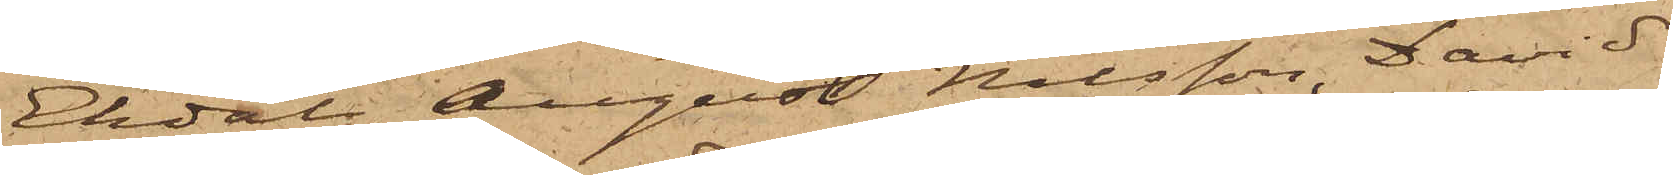Ekdal, August Nilsson, David
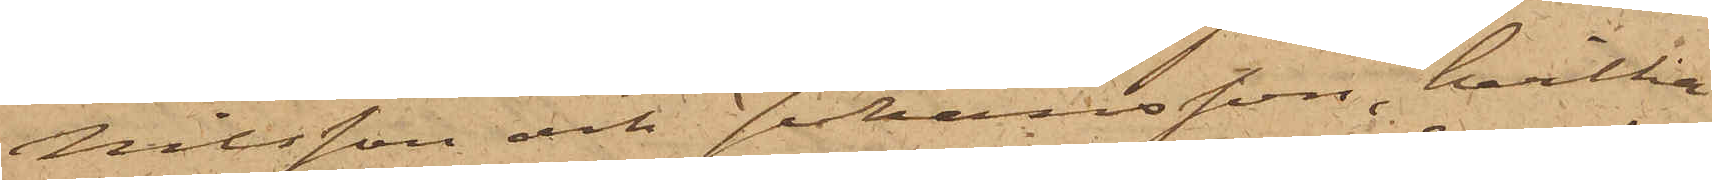Nilsson och Johansson, hvilka
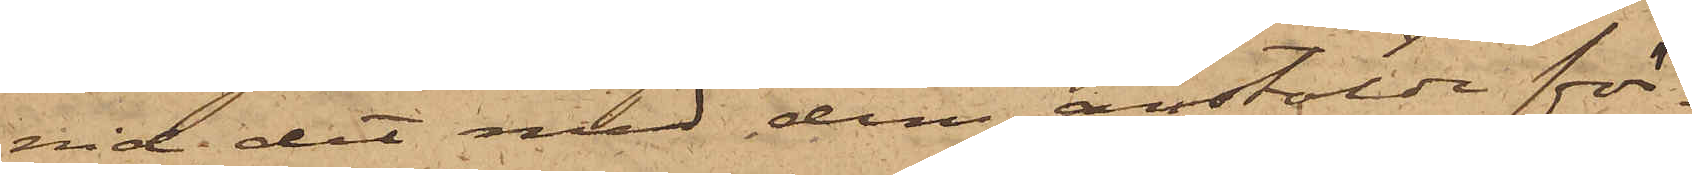vid det med dem anstälda för¬
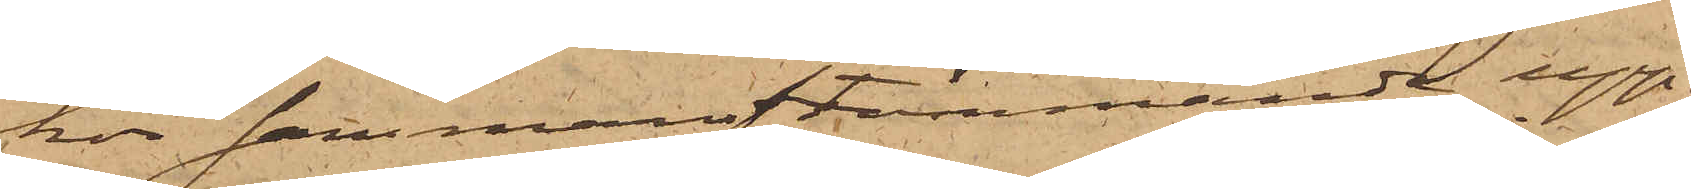hör sammanstämmande upp¬
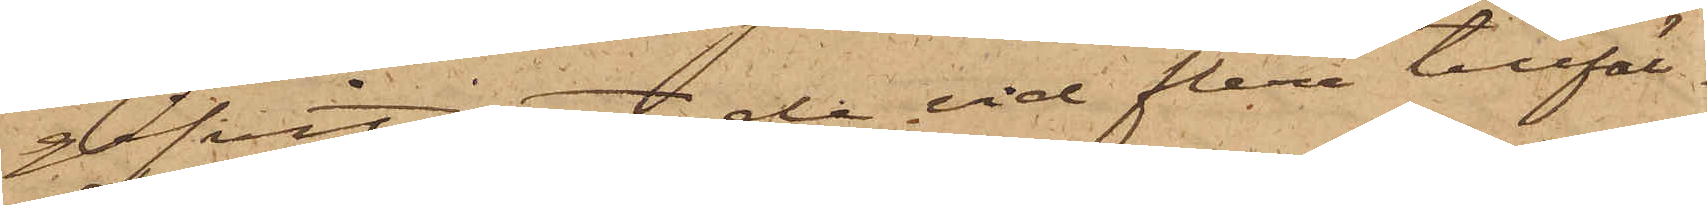gifvit de vid flera tillfäl¬
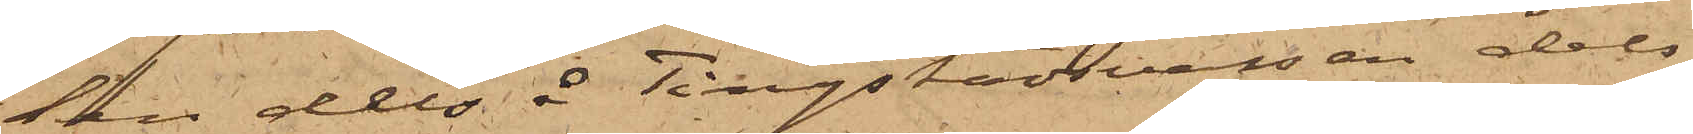len dels å Tingstadsvassen dels
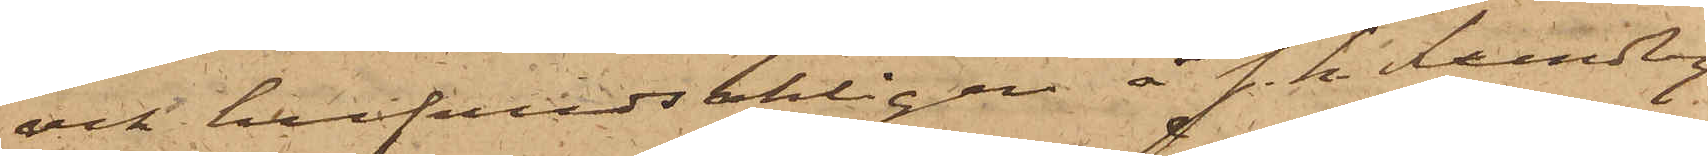och hufvudsakligen å s. k. Lundby¬
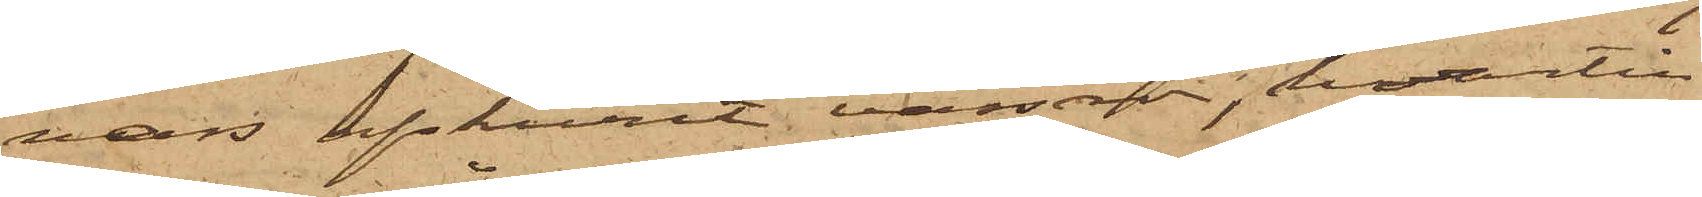vass afskurit vassrör, hvartill
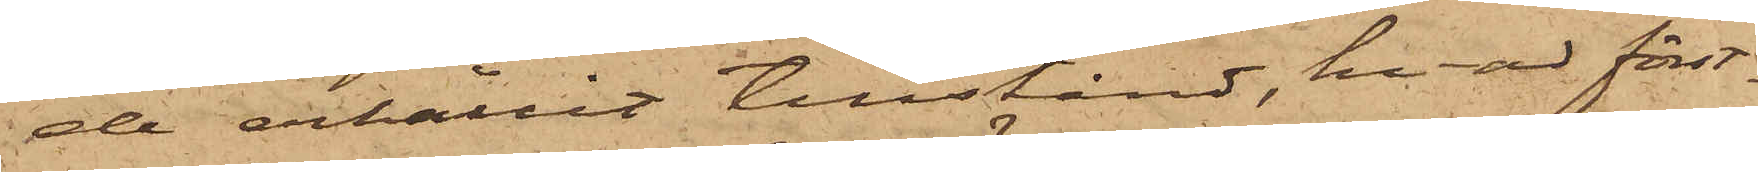de erhållit tillstånd, hvad först¬
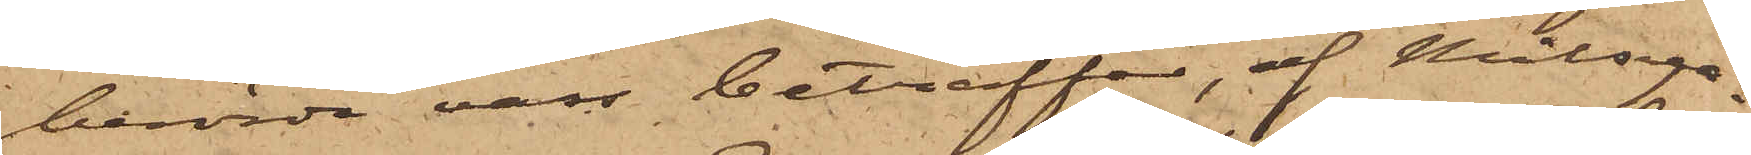berörde vass beträffas, af Målsega¬
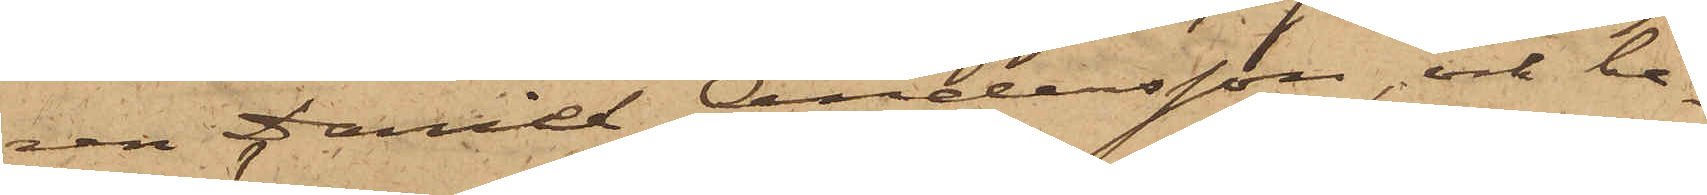ren Daniel Andersson, och be¬
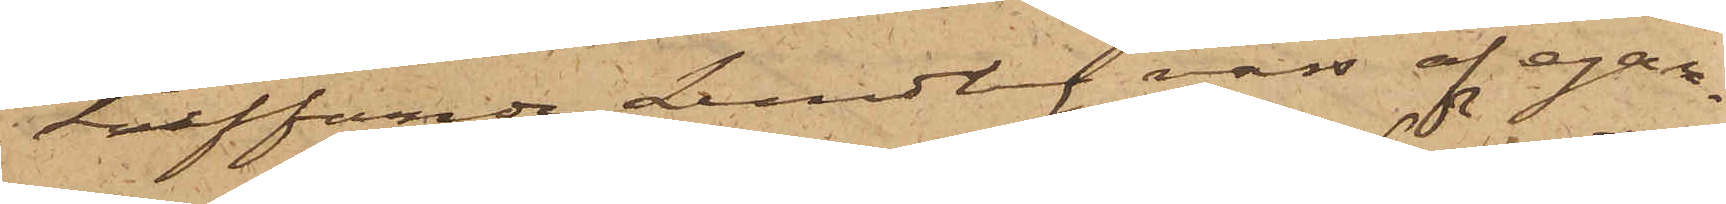träffande Lundby vass af egar¬
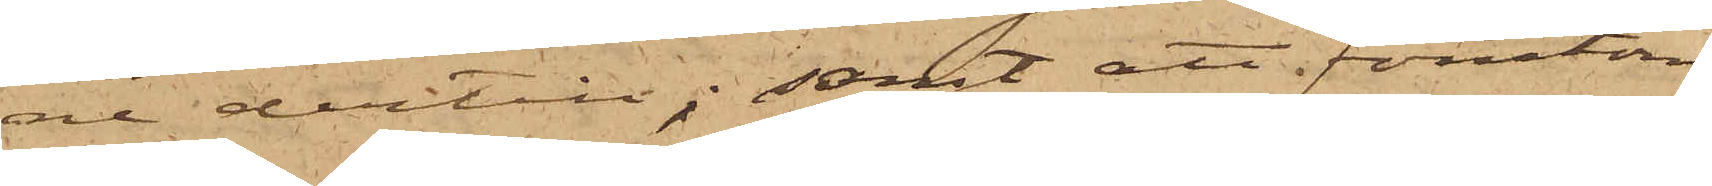ne dertill; samt att förutom
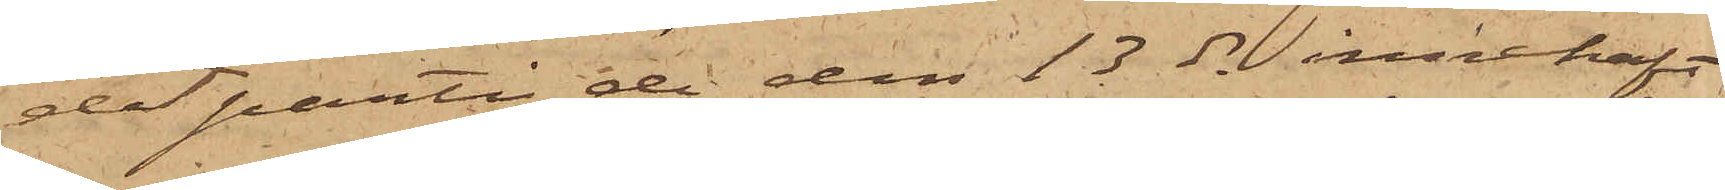det parti de den 13 ds innehaft
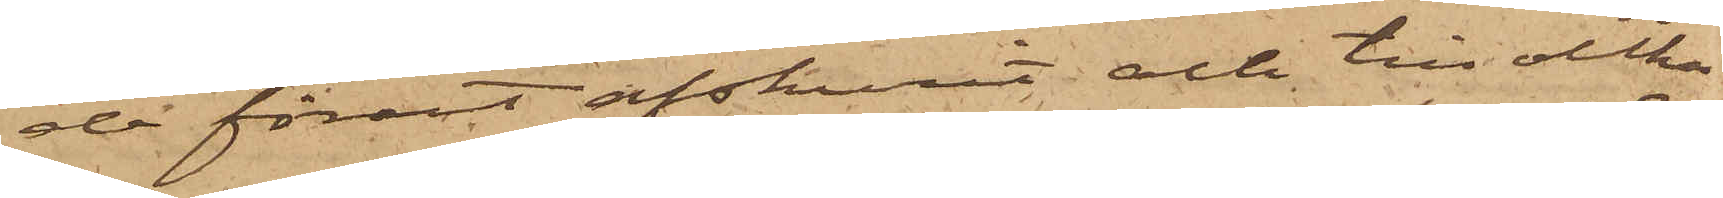de förut afskurit och till olika
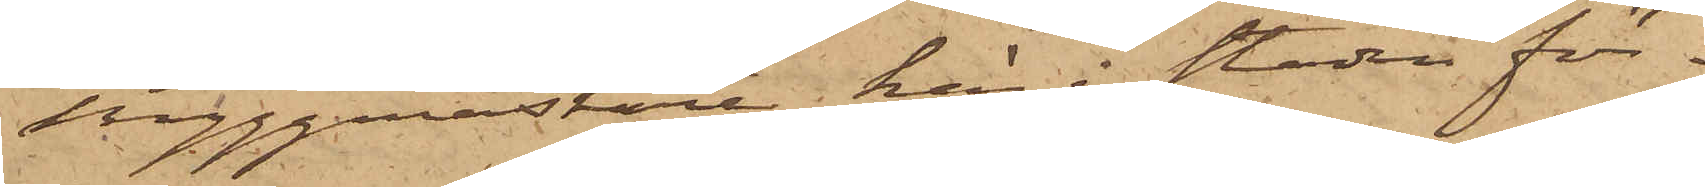byggmästare här i staden för¬
